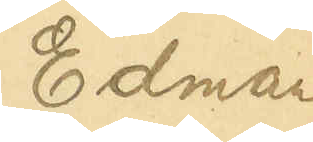Edman
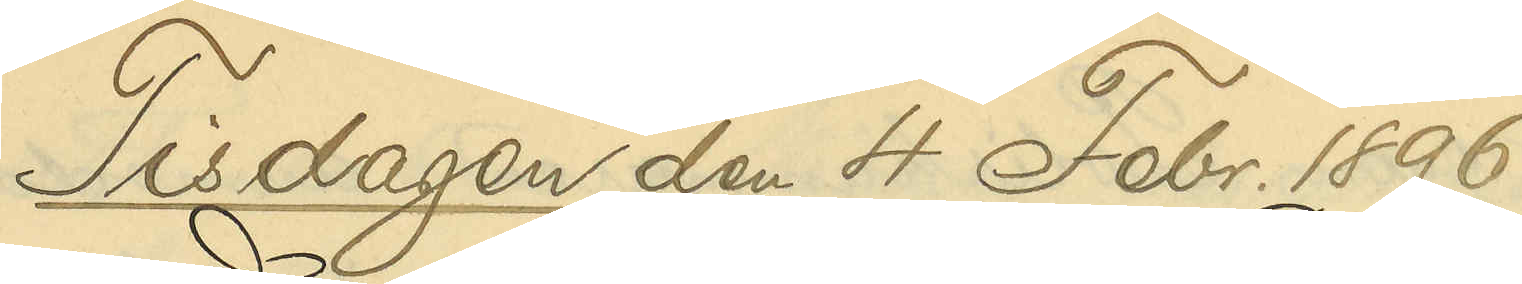Tisdagen den 4 Febr. 1896
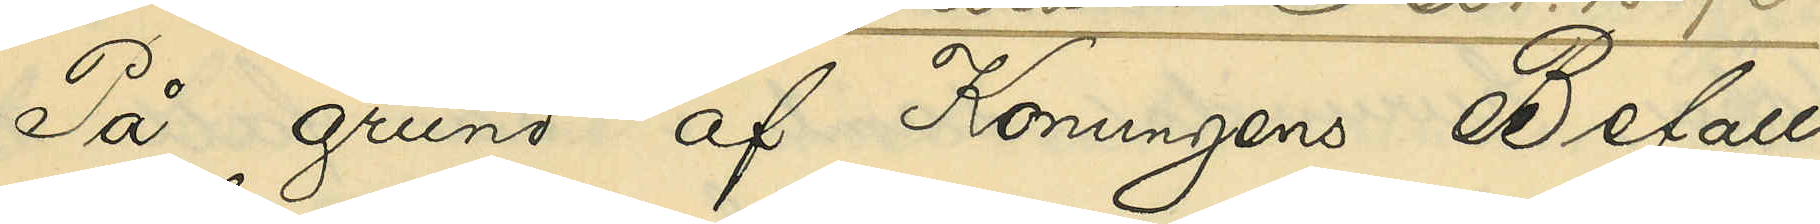På grund af Konungens Befall¬
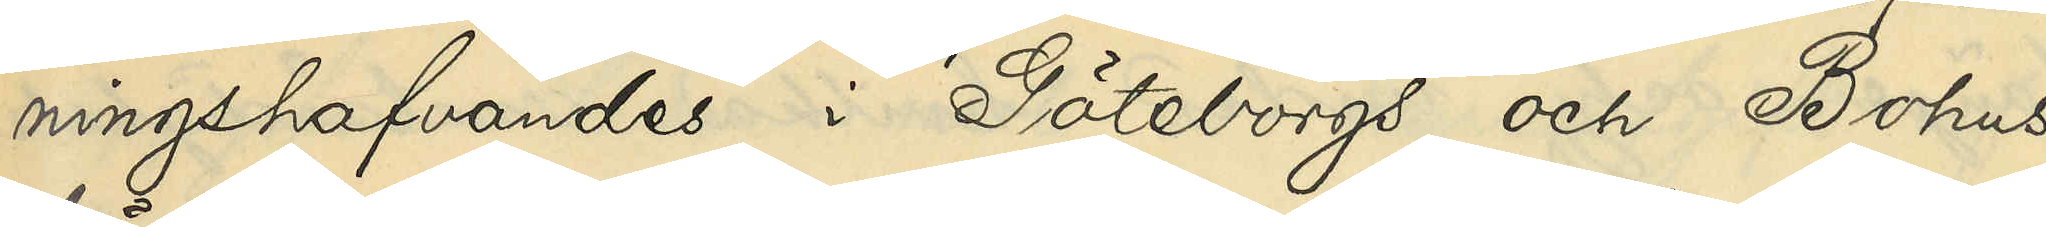ningshafvandes i Göteborgs och Bohus
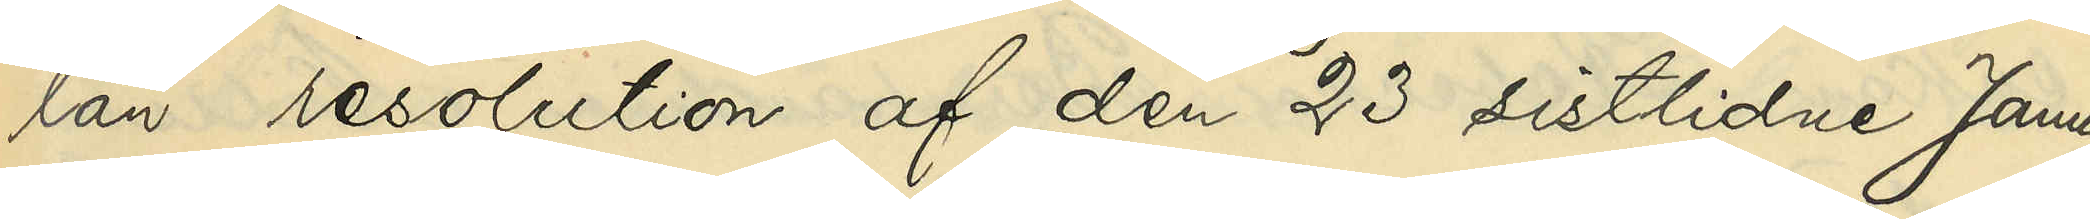län resolution af den 23 sistlidne Janu¬
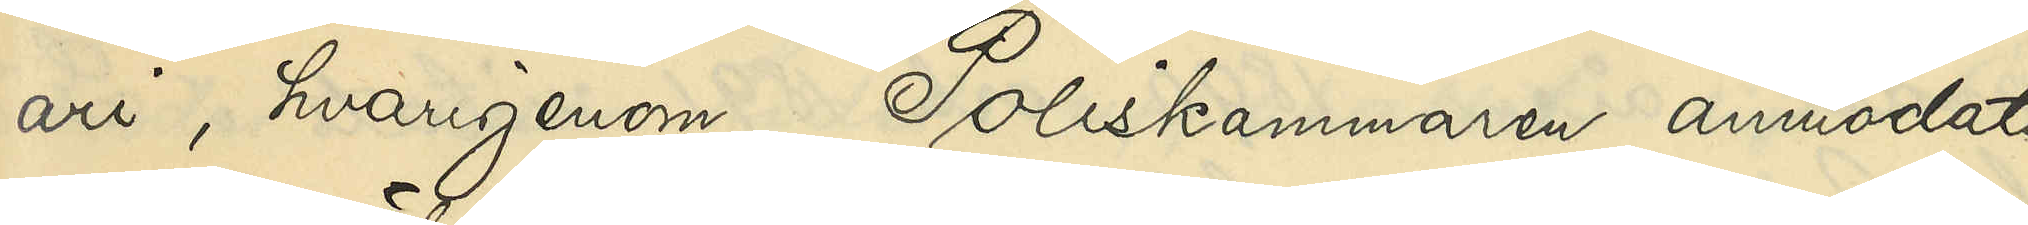ari, hvarigenom Poliskammaren anmodats
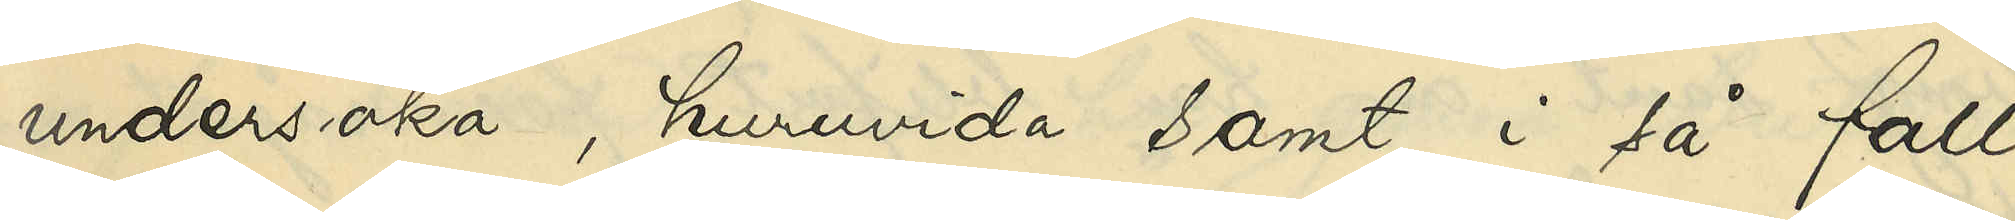undersöka, huruvida samt i så fall
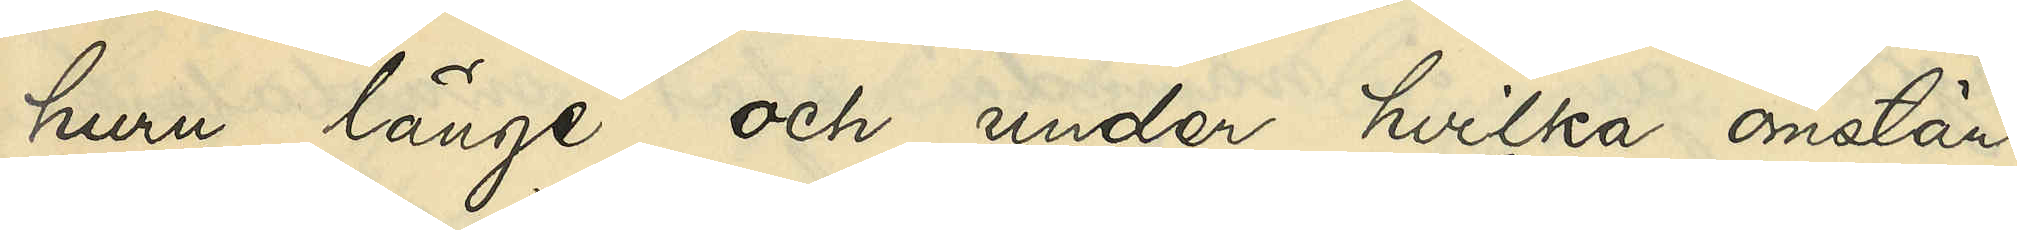huru länge och under hvilka omstän¬
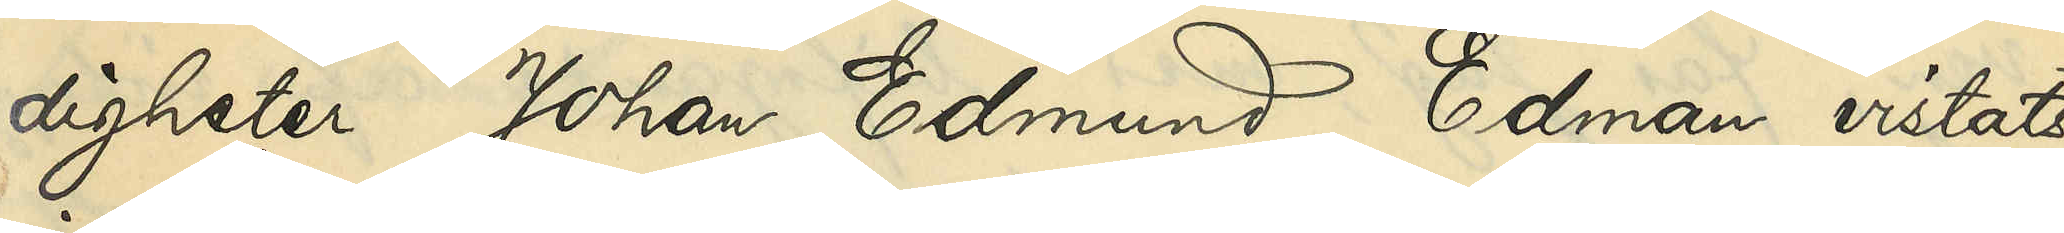digheter, Johan Edmund Edman vistats
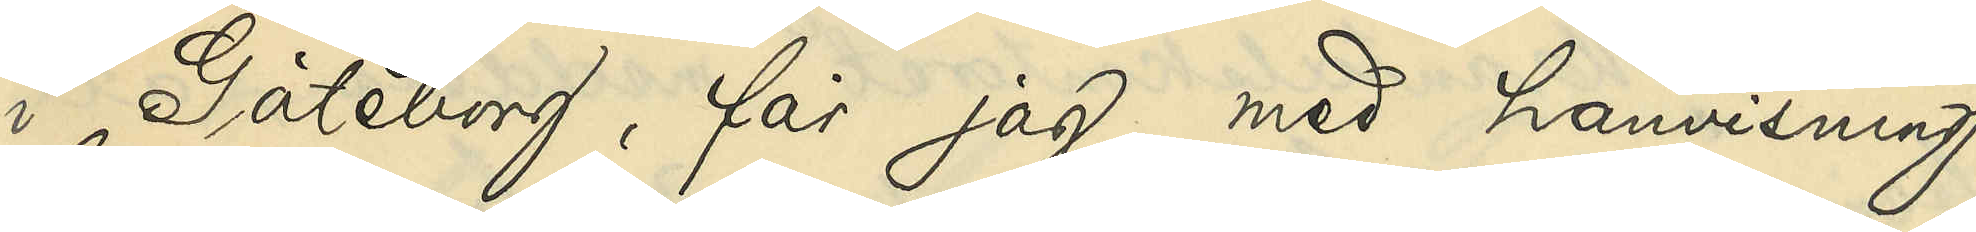i Göteborg, får jag med hänvisning
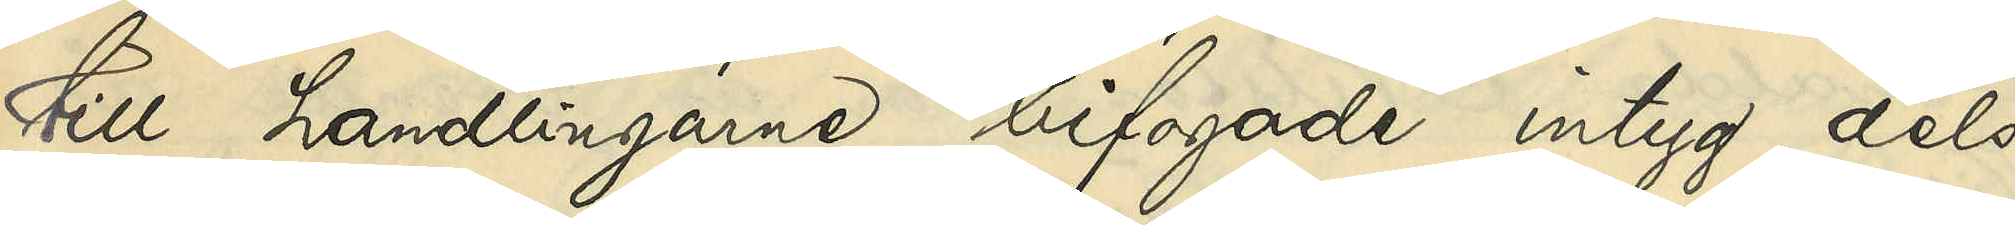till handlingarne bifogade intyg dels
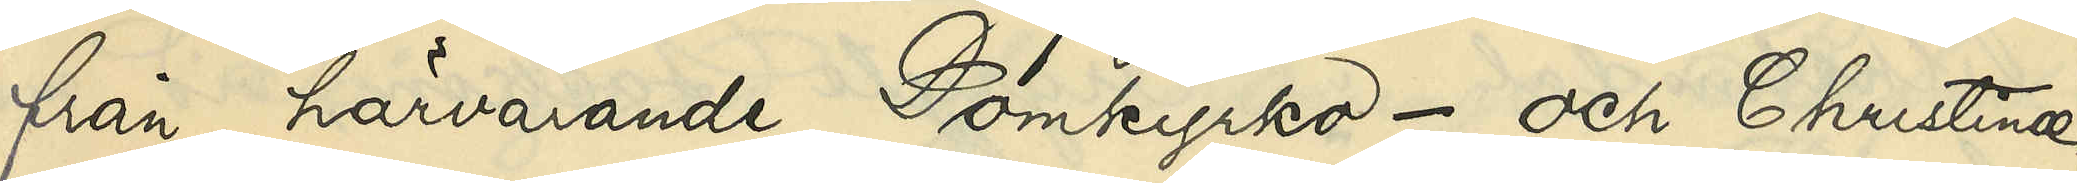från härvarande Domkyrko- och Christinæ
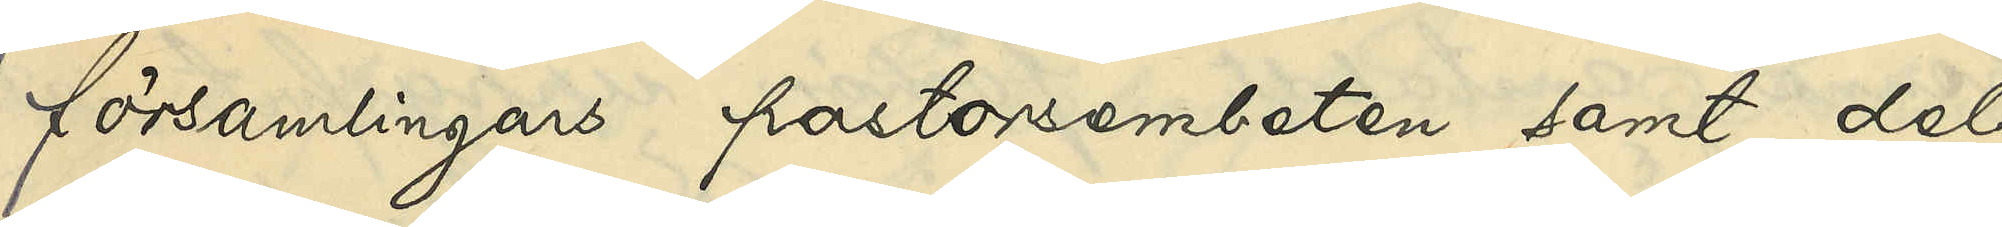församlingars pastorsembeten samt dels
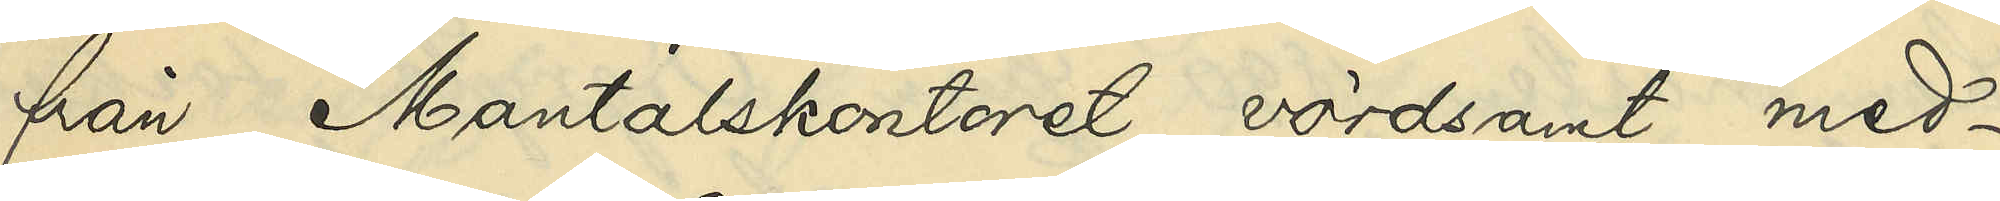från Mantalskontoret, vördsamt med¬
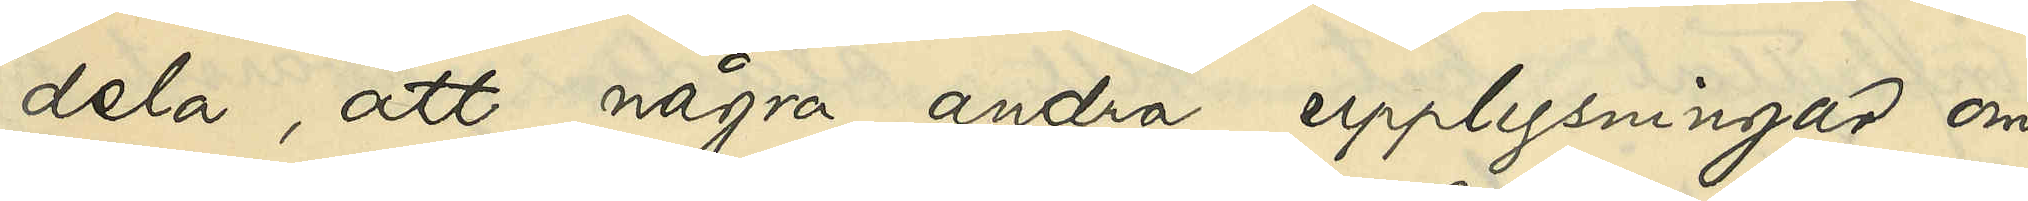dela, att några andra upplysningar om
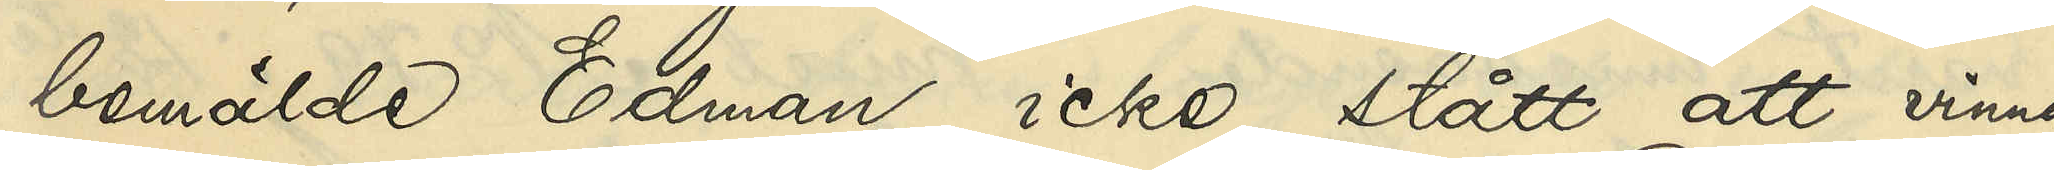bemälde Edman icke stått att vinna,
